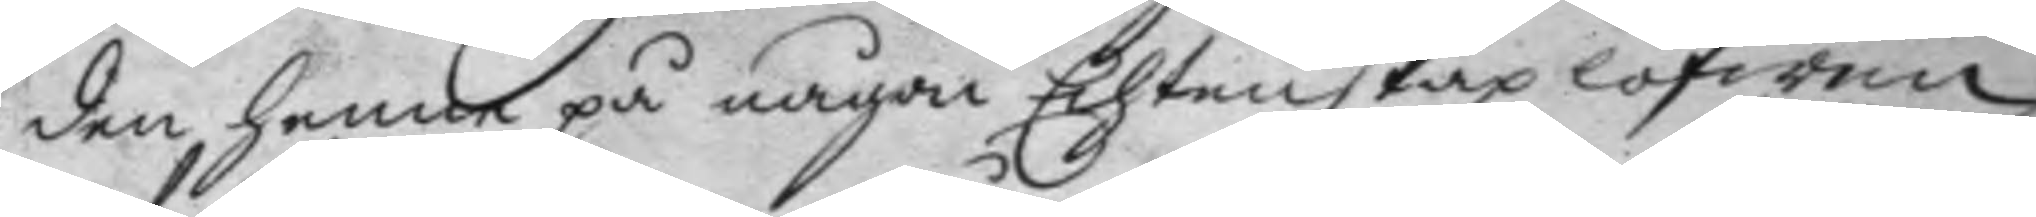den henne på någon Ehtenskap lofwen
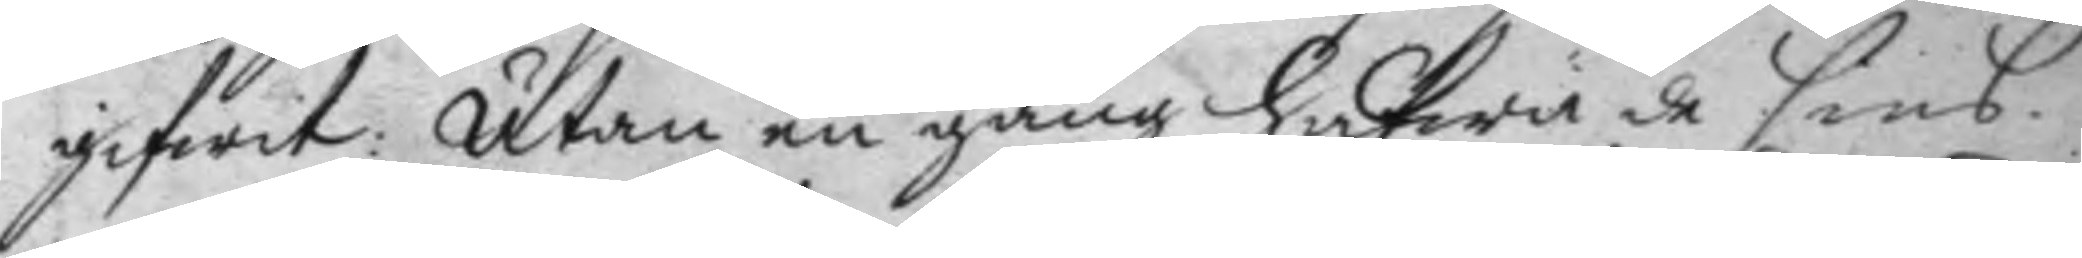gifwit: Utan en gång hafwa de sins
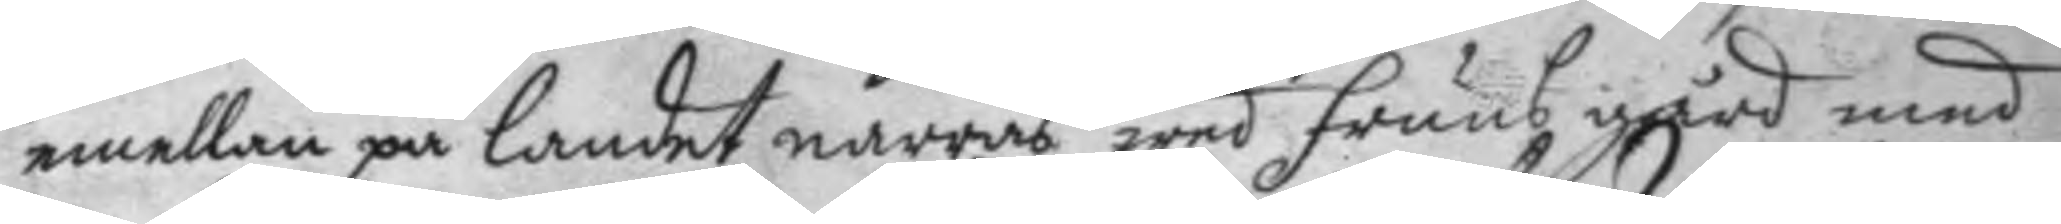emellan på landet narras wed fruns gård med
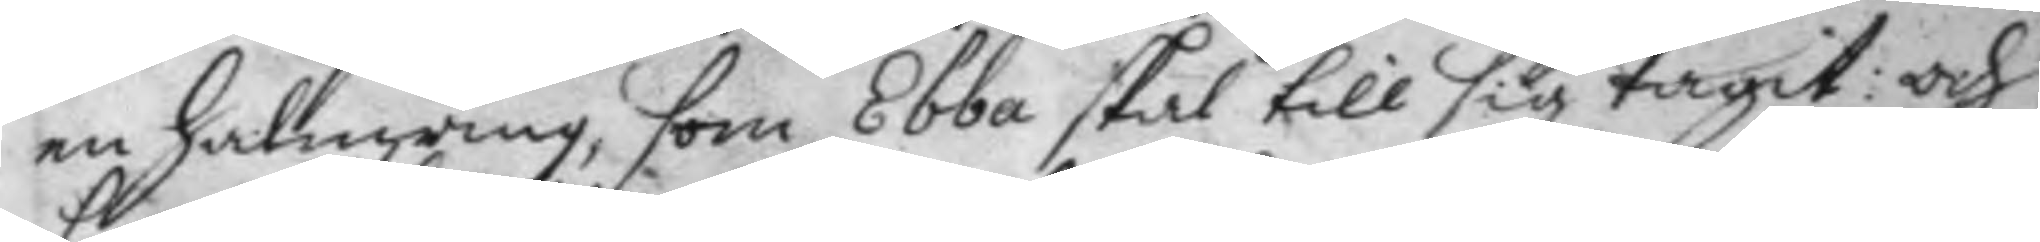en halmring, som Ebba skal till sig tagit: och
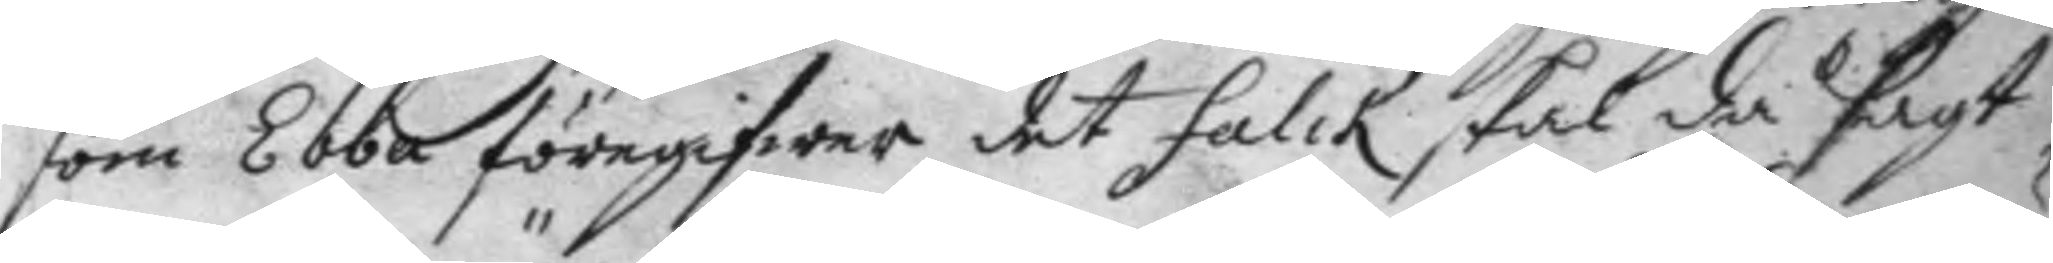som Ebba föregifwer det Falck skal då sagt,
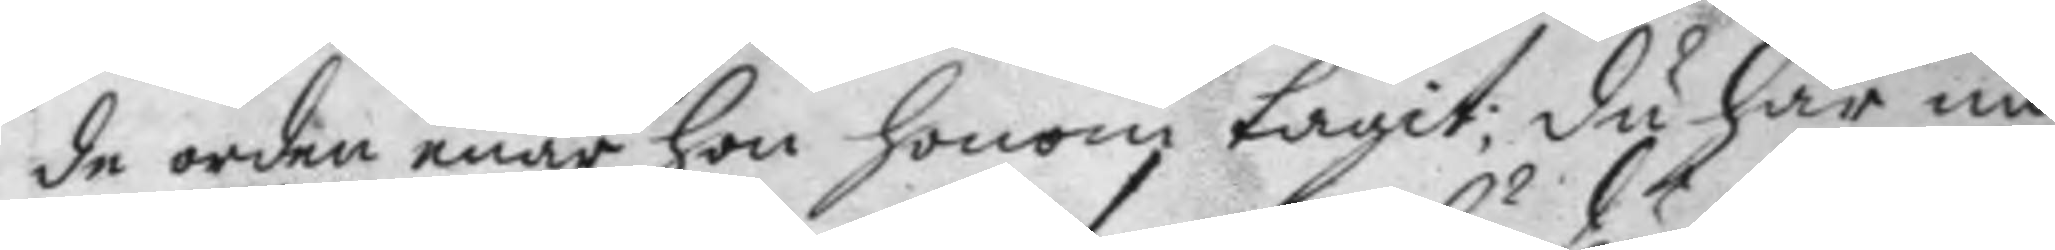de orden enär hon honom tagit; du har nu
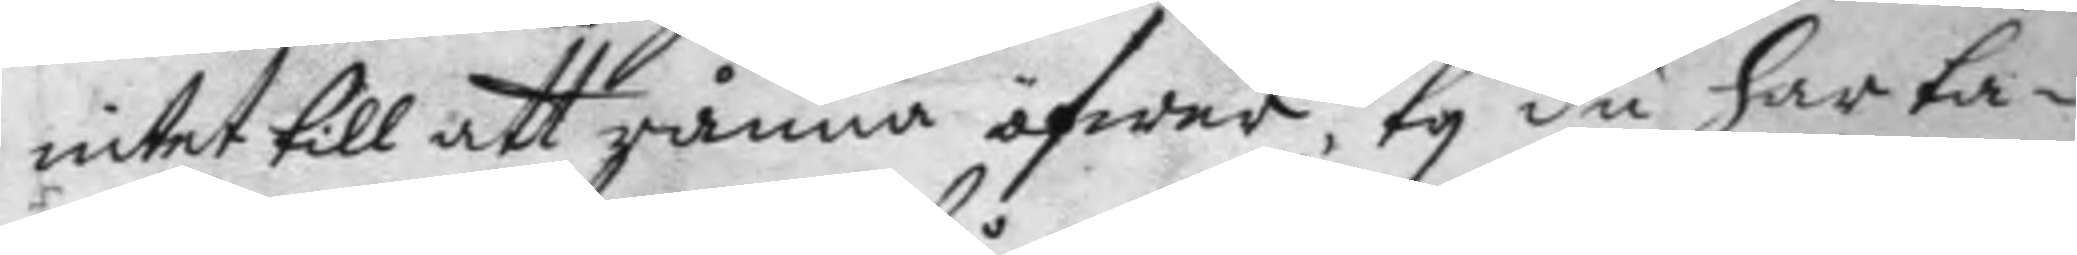intet till att rånna öfwer, ty du har ta¬
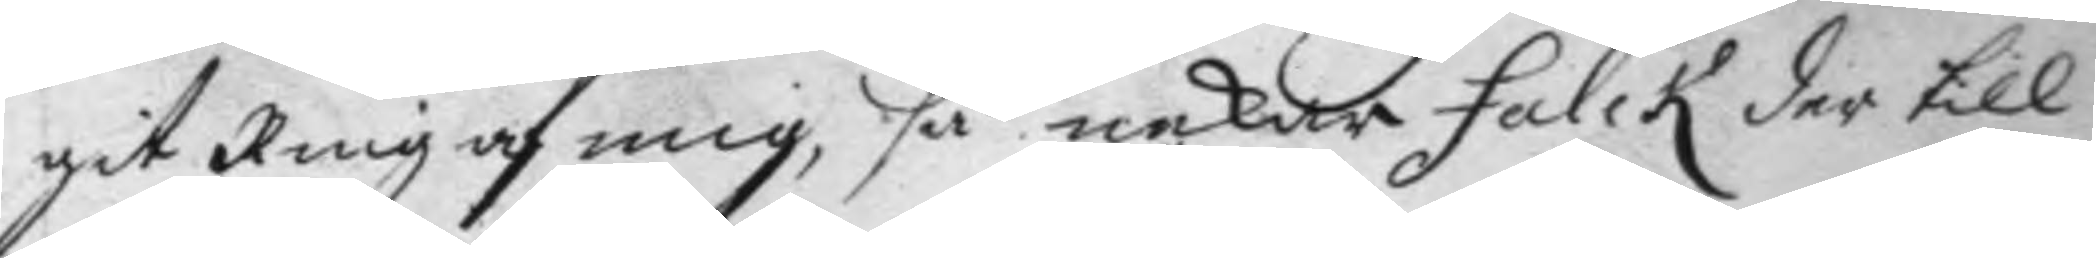git Ring af mig, så nekar Falck der till
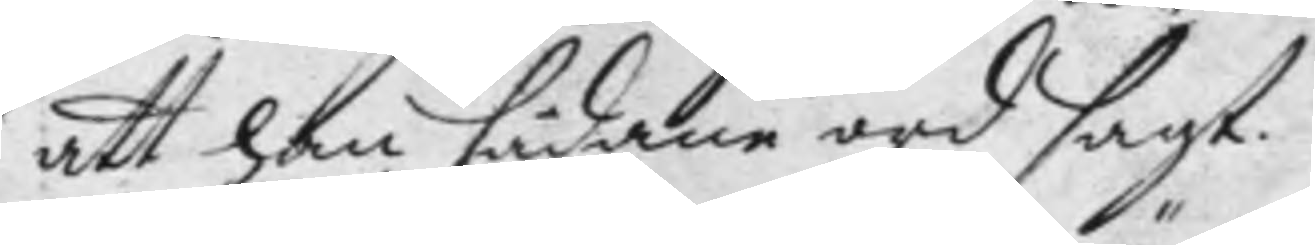att han sådane ord sagt.
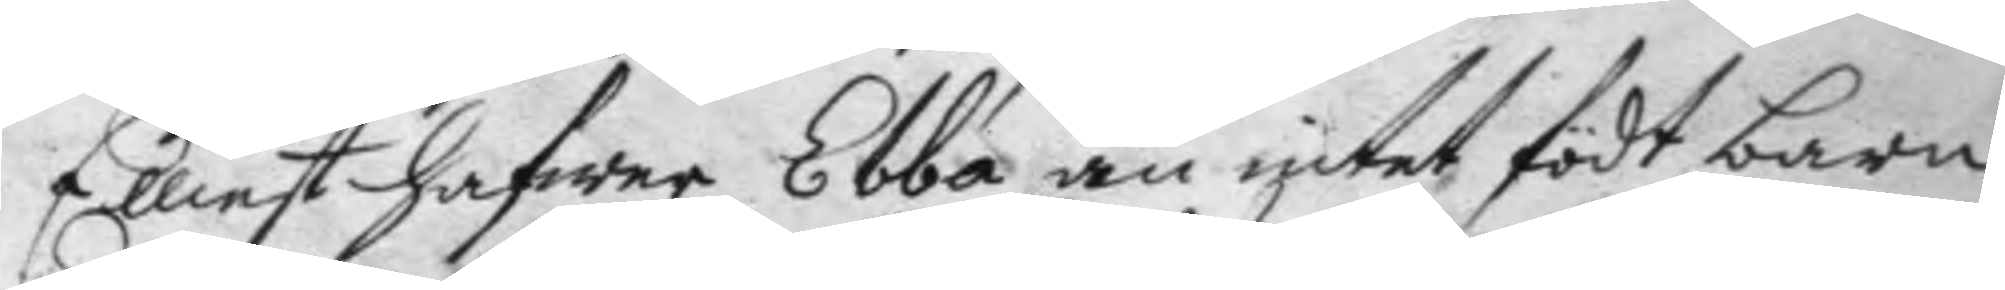Elliest hafwer Ebba än intet födt barn,
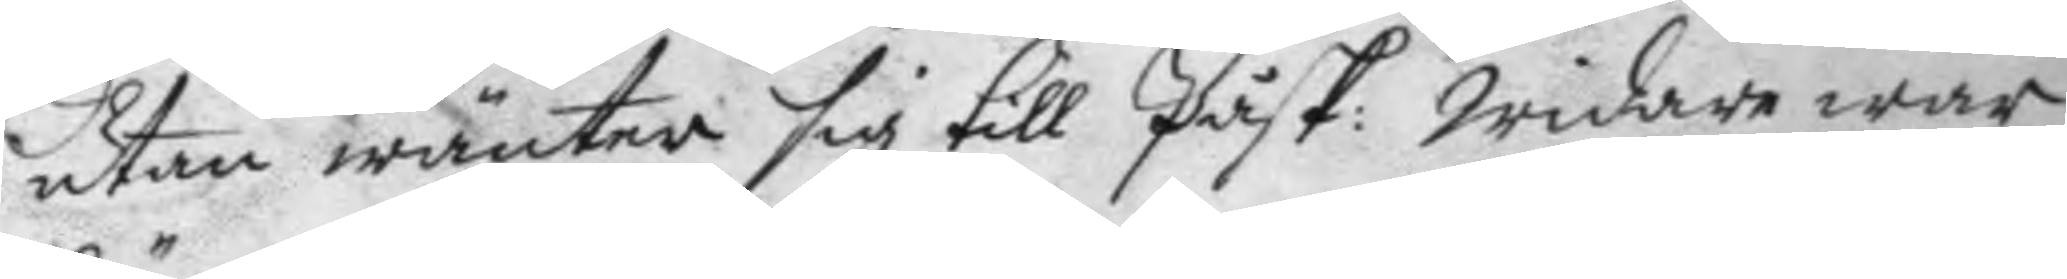utan wänter sig till Påsk: widare war
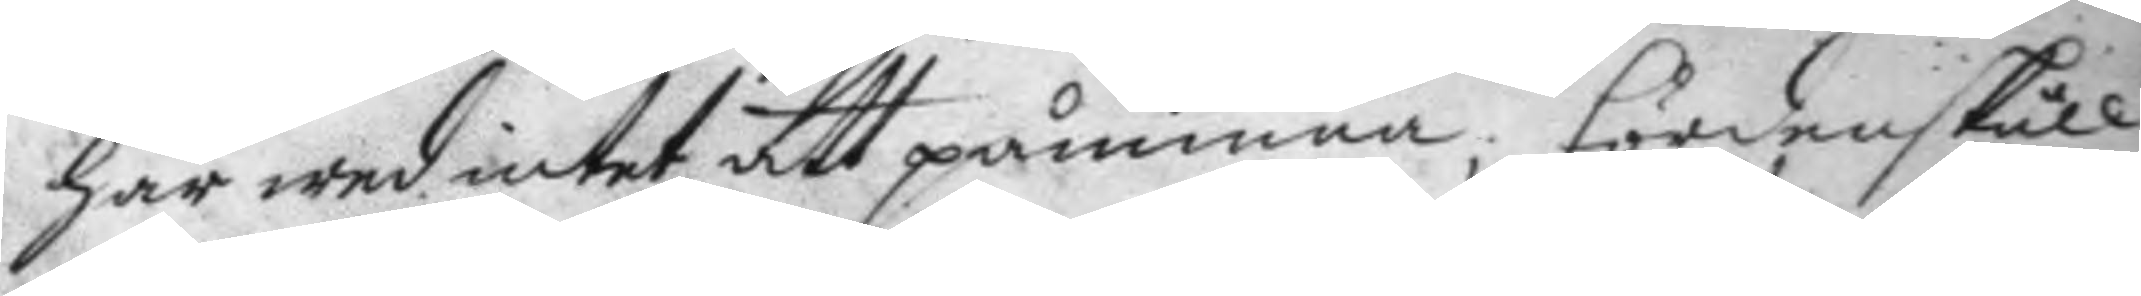här wed intet att påminna; fördenskull
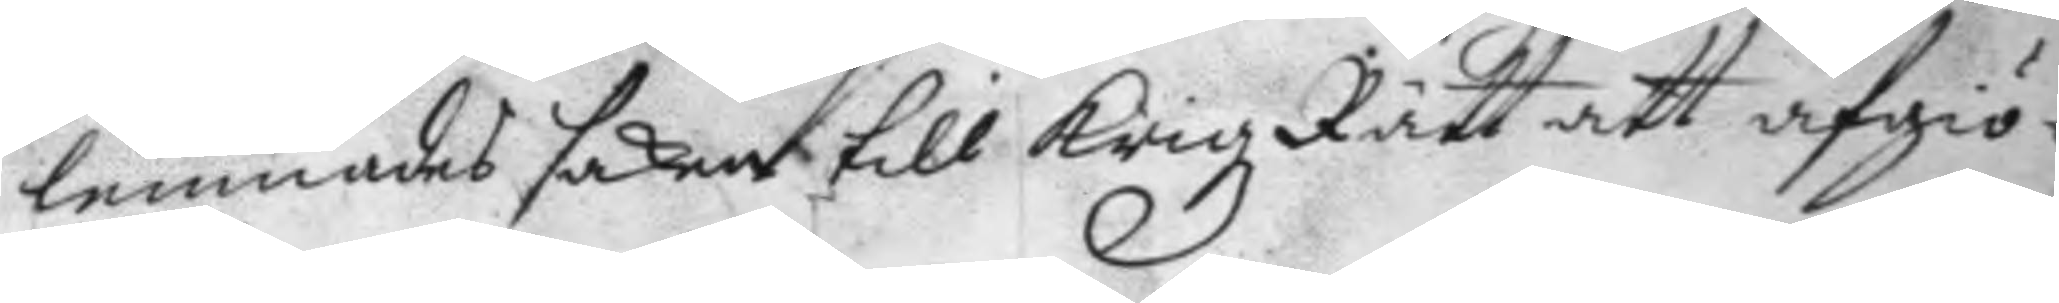lemnades saker till krigz Rätt att afgiö¬
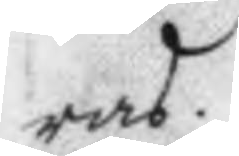ras.
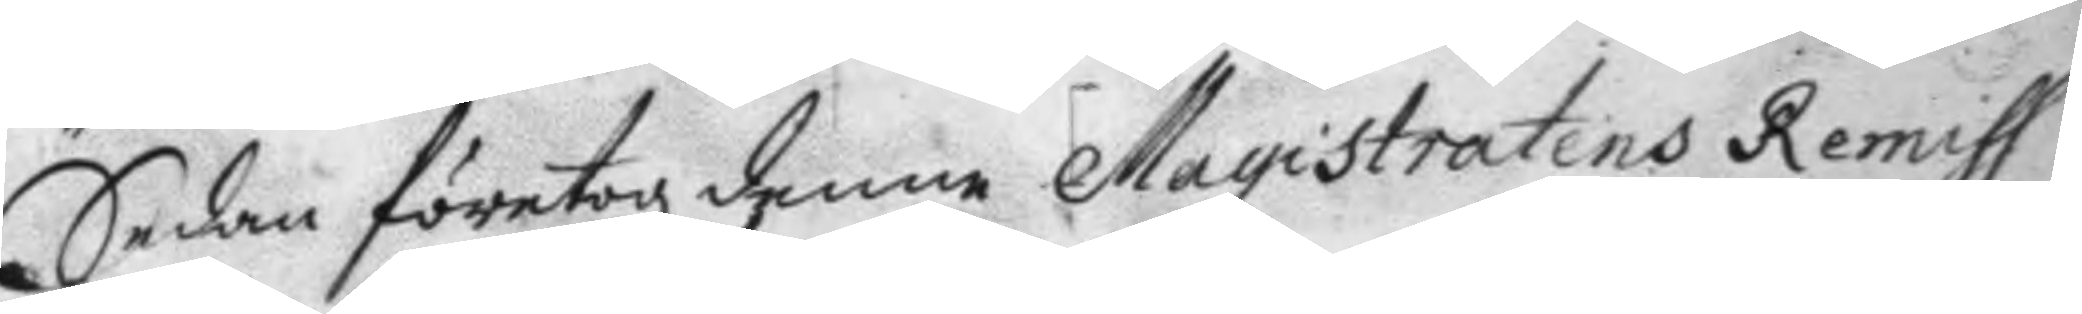Sedan företogz denne Magistratens Remiss
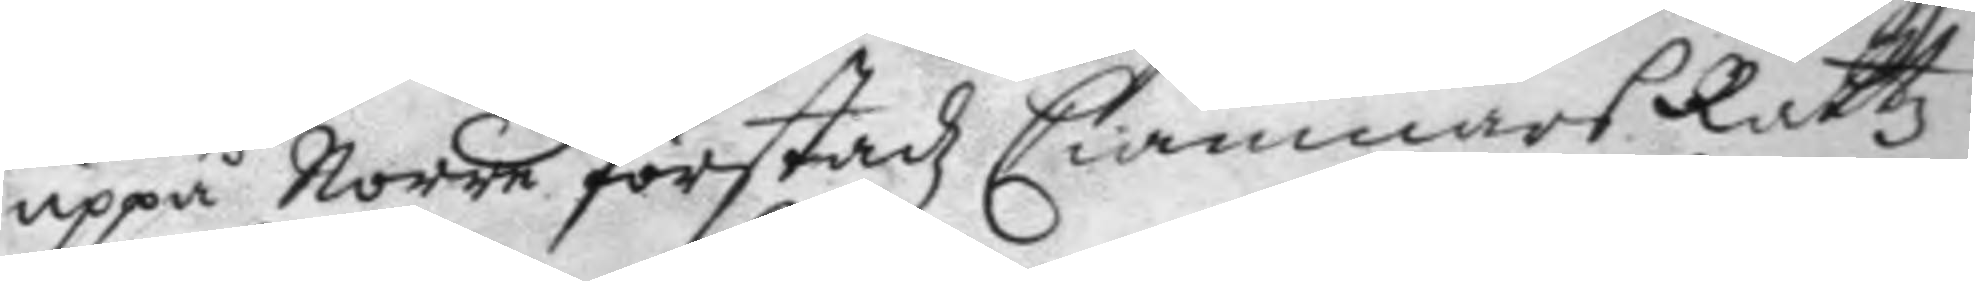uppå Norre förstadz Ciämnärs Rättz
